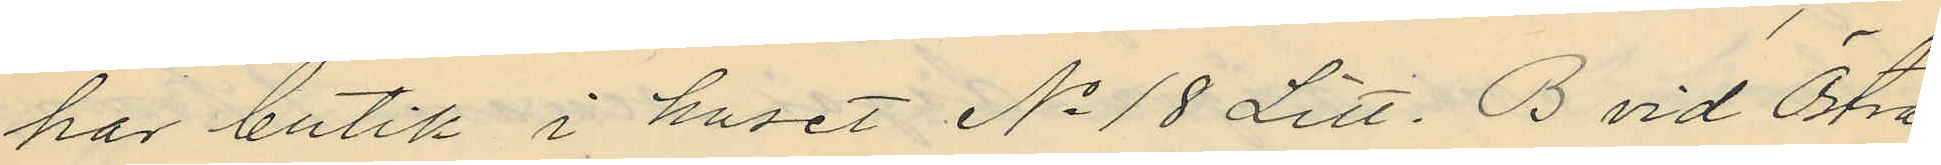har butik i huset No 18 Litt. B vid Östra
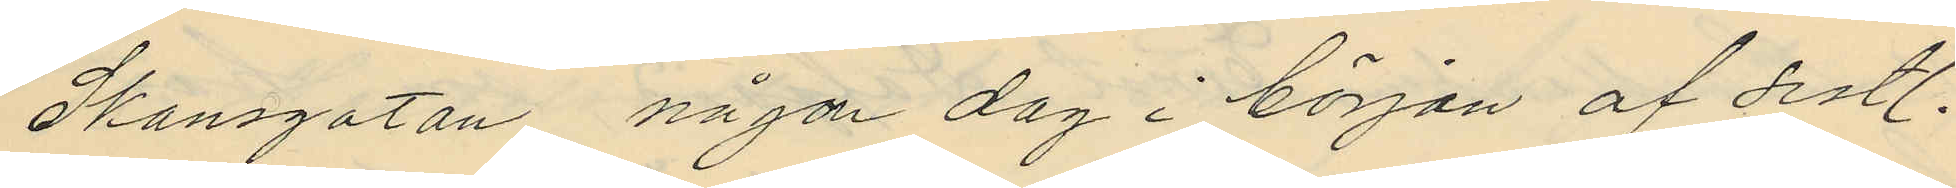Skansgatan någon dag i början af sistl.
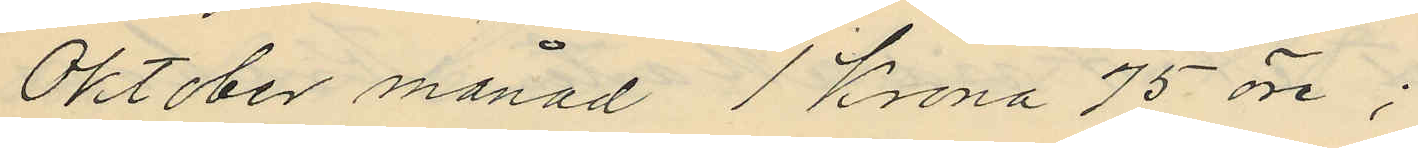Oktober månad 1 Krona 75 öre;
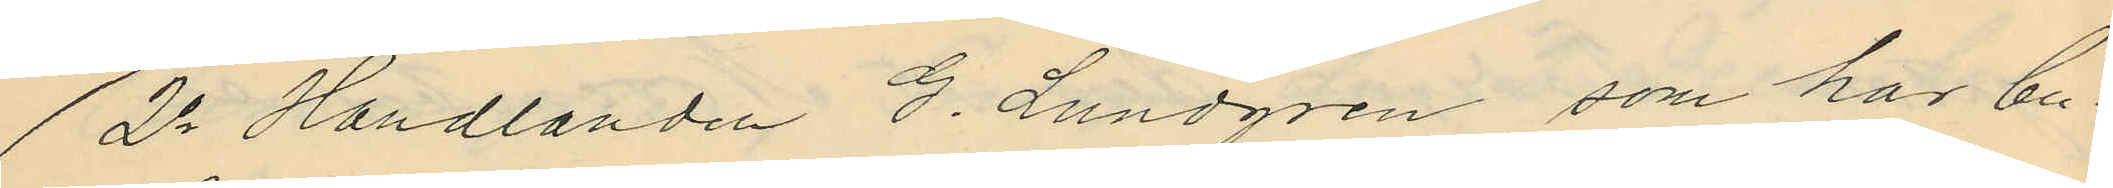2o Handlanden G. Lundgren, som har bu¬
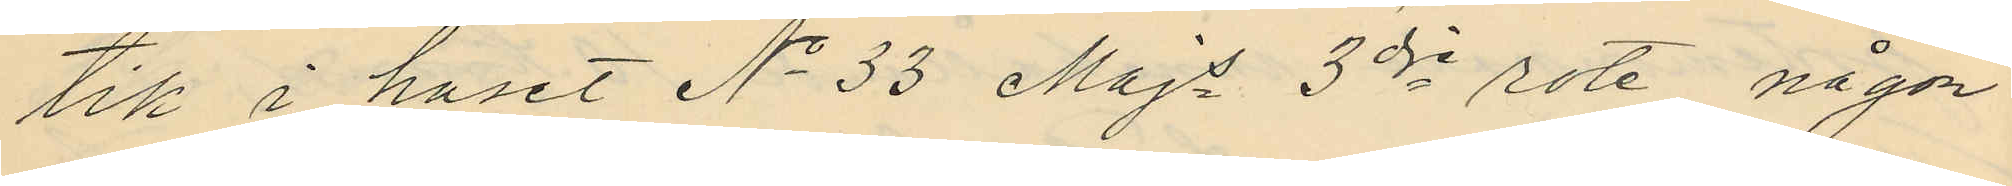tik i huset No 33 Majs 3dje rote, någon
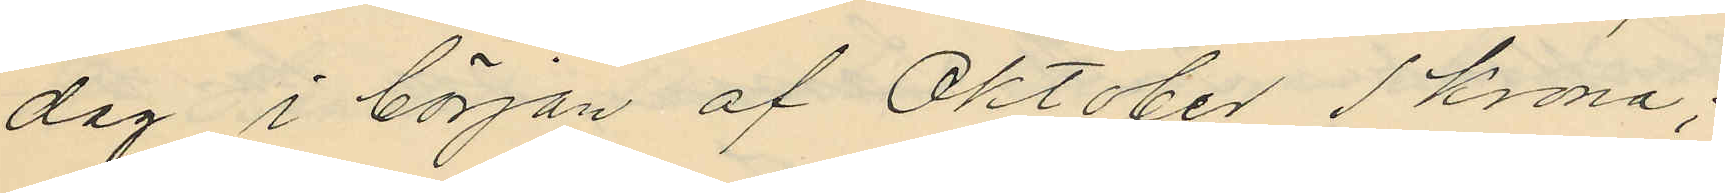dag i början af Oktober 1 Krona;
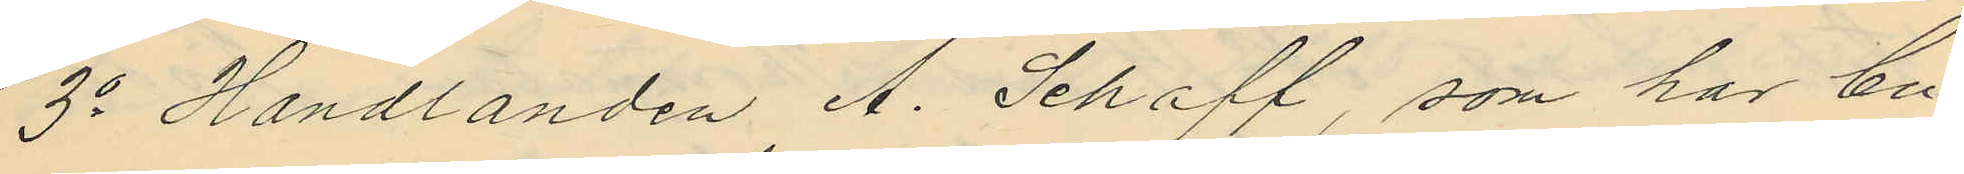3o Handlanden A. Schaff, som har bu¬
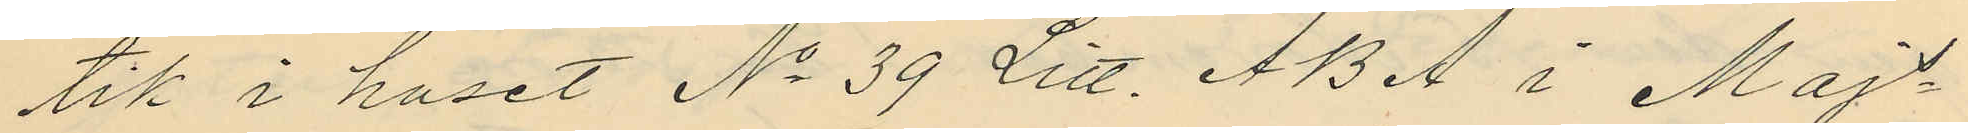tik i huset No 39 Litt. A B A i Majs¬
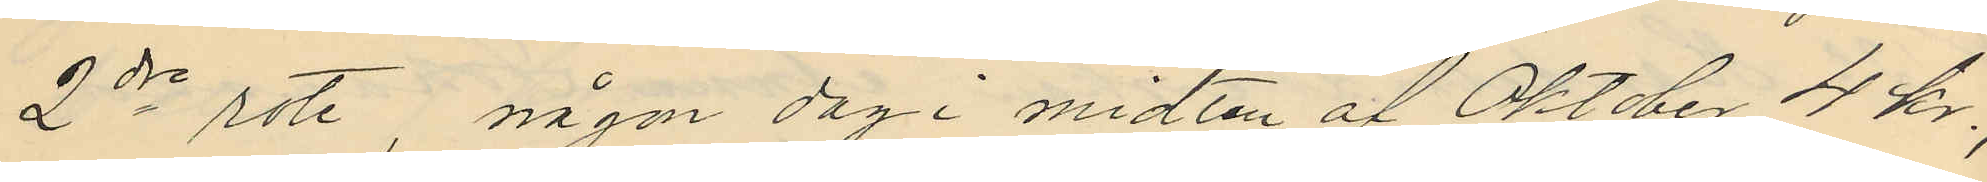2dre rote, någon dag i midten af Oktober 4 Kr.,
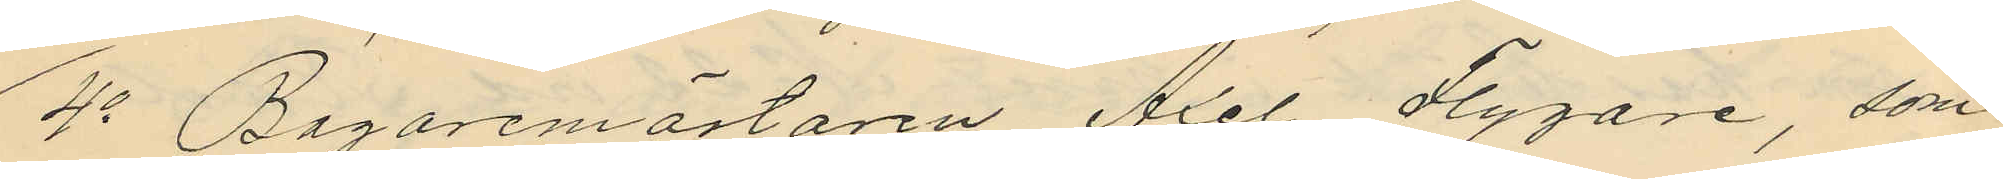4o Bagaremästaren Axel Flygare, som
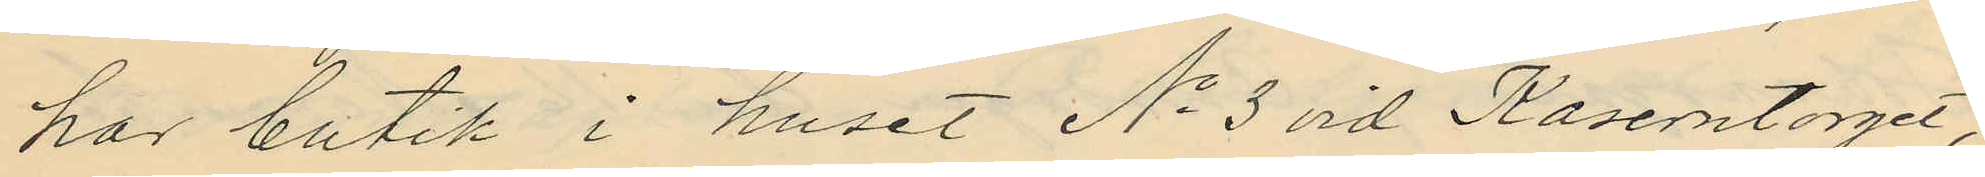hor butik i huset No 3 vid Kaserntorget,
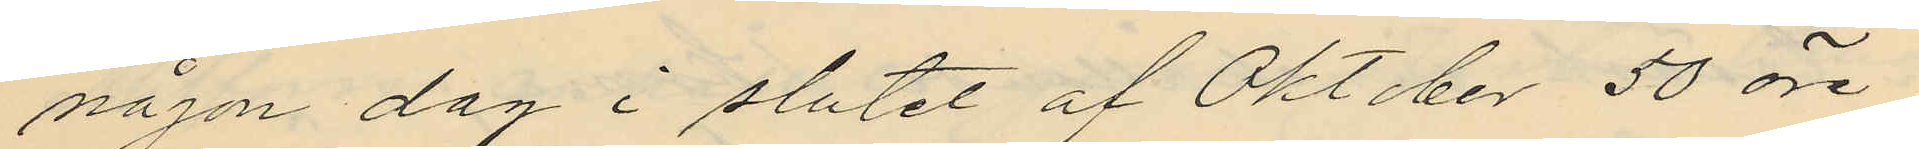någon dag i slutet af Oktober 50 öre
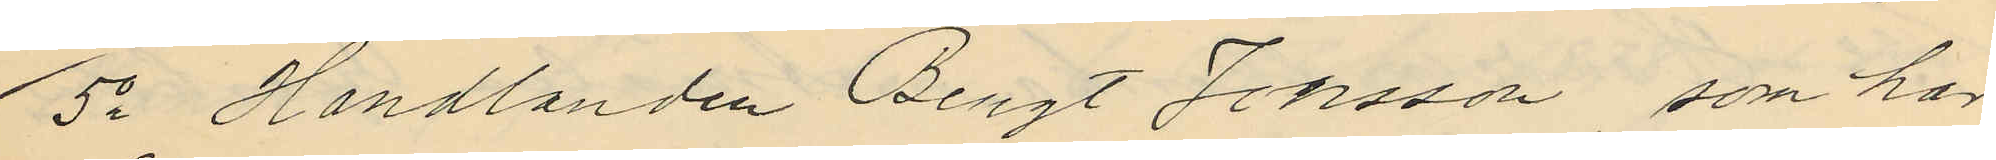5o Handlanden Bengt Jonsson, som har
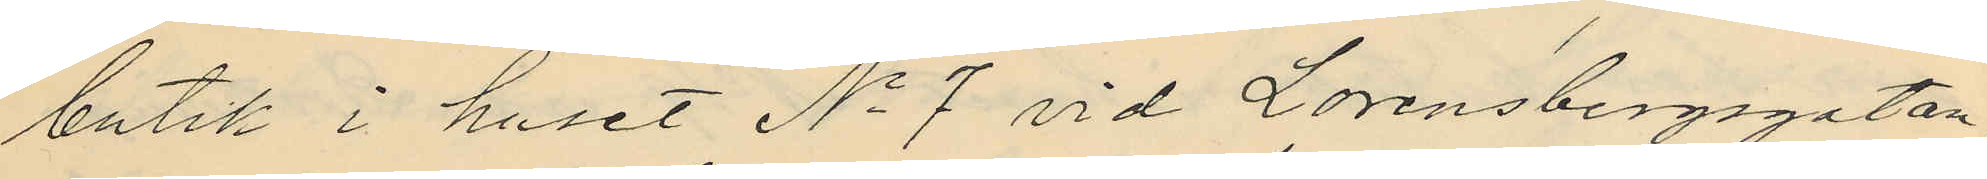butik i huset No 7 vid Lorensbergsgatan
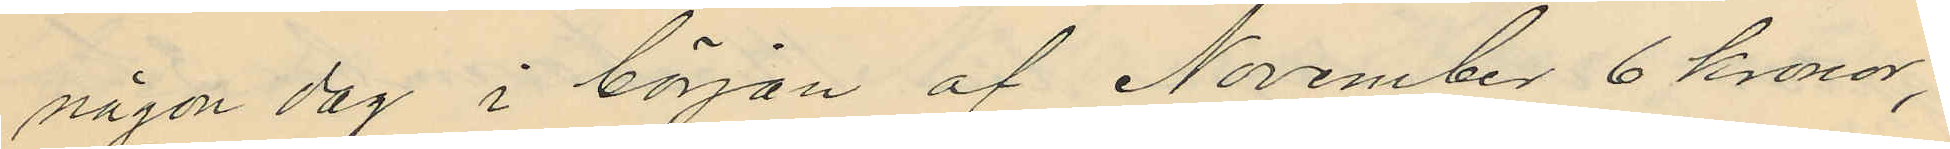någon dag i början af November 6 kronor;
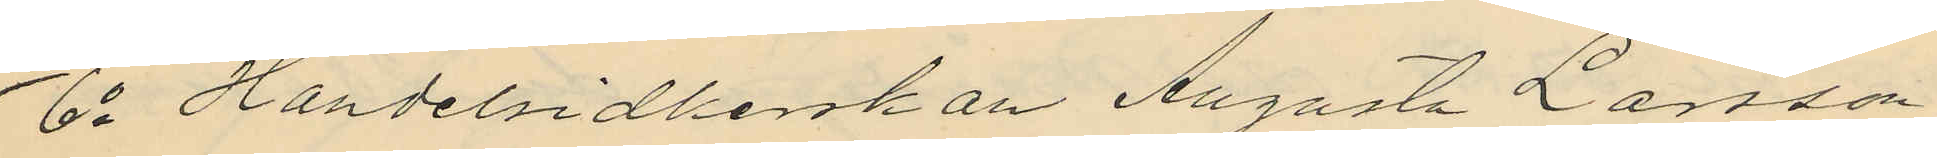6o Handelsidkerskan Augusta Larsson
